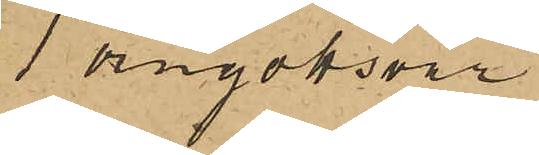1 örngottsvar
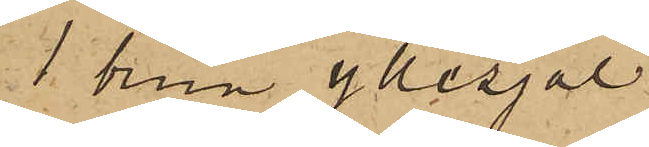1 brun yllesjal
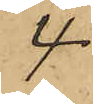4
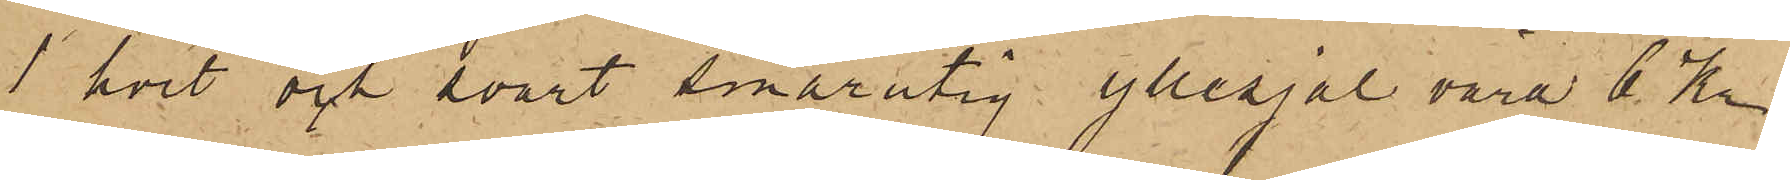1 hvit och svart smårutig yllesjal värd 6 Kr
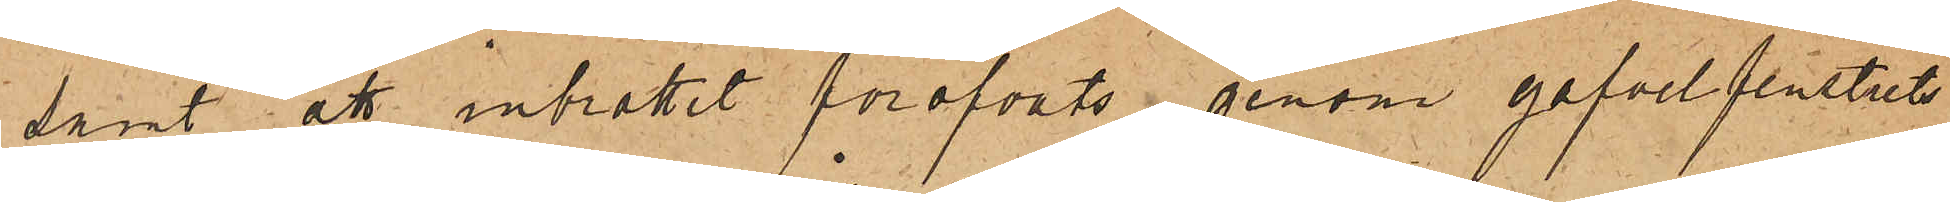samt att inbrott föröfvats genom gafvelfenstrets
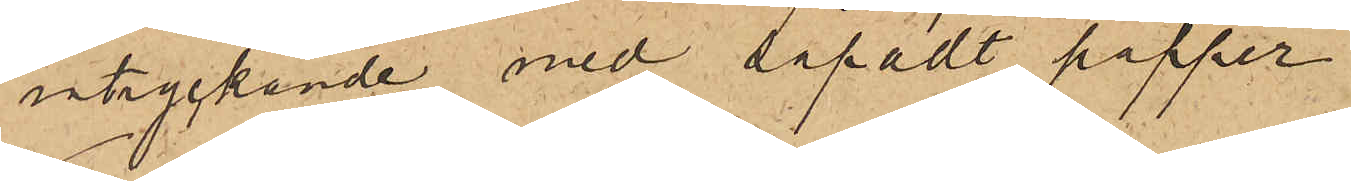intryckande med såpadt papper.
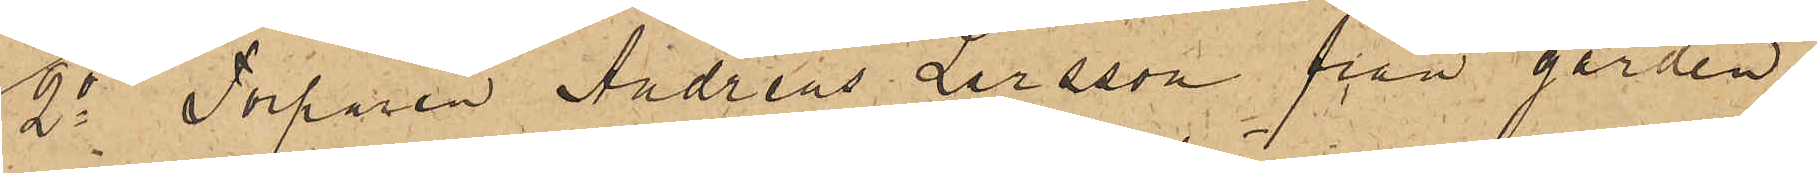2o Torparen Andreas Larsson från gården
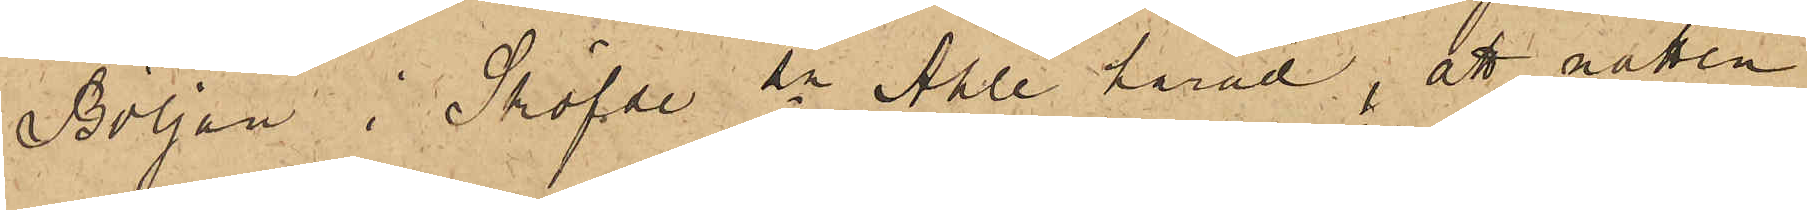Böljan i Sköfde sn Ahle härad, att natten
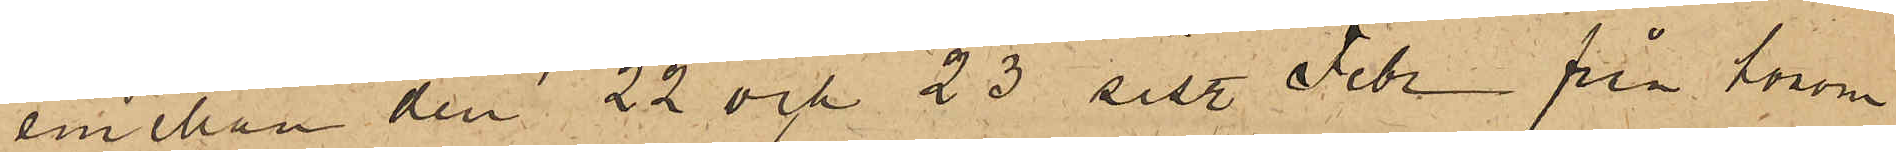emellan den 22 och 23 sist. Febr. från honom
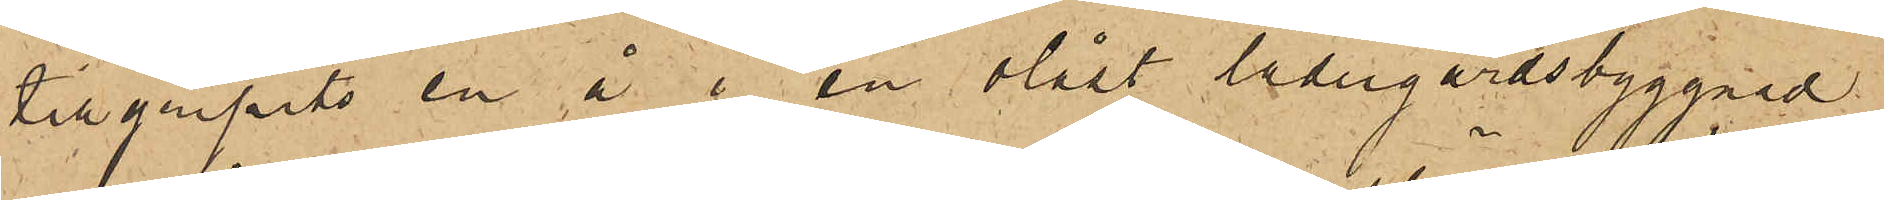tillgripits en å i en olåst ladugårdsbyggnad
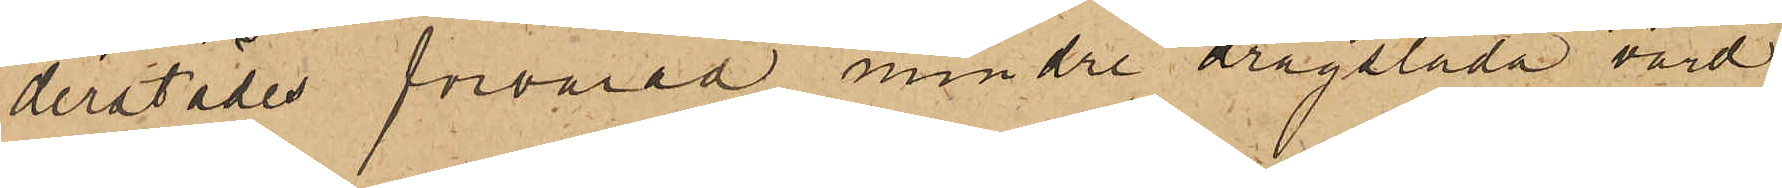derstädes förvarad mindre dragsläda, värd
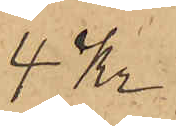4 Kr.
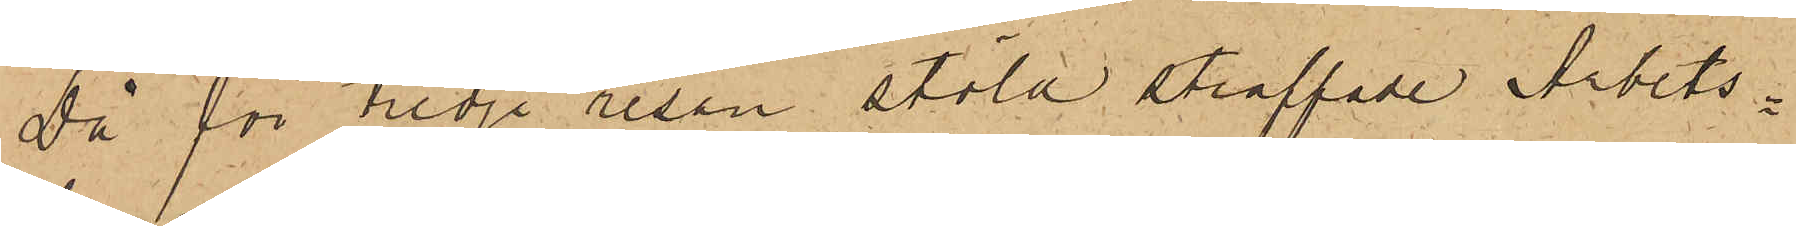Då för tredje resan stöld straffade Arbets¬
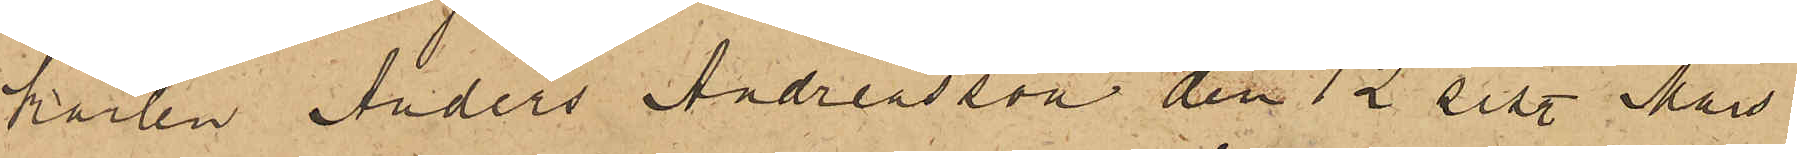karlen Anders Andreasson den 12 sist. Mars
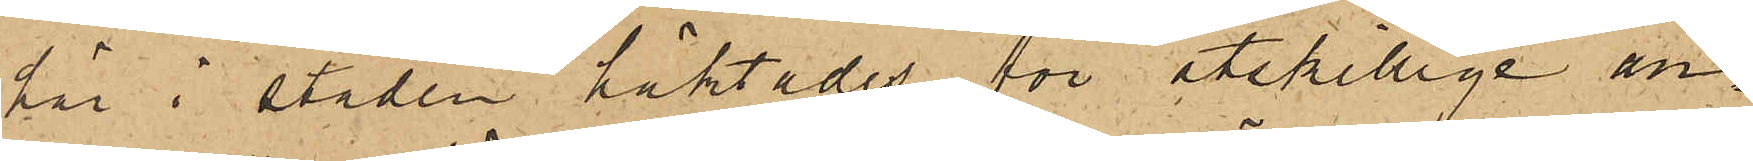här i staden häktades för åtskillige an¬
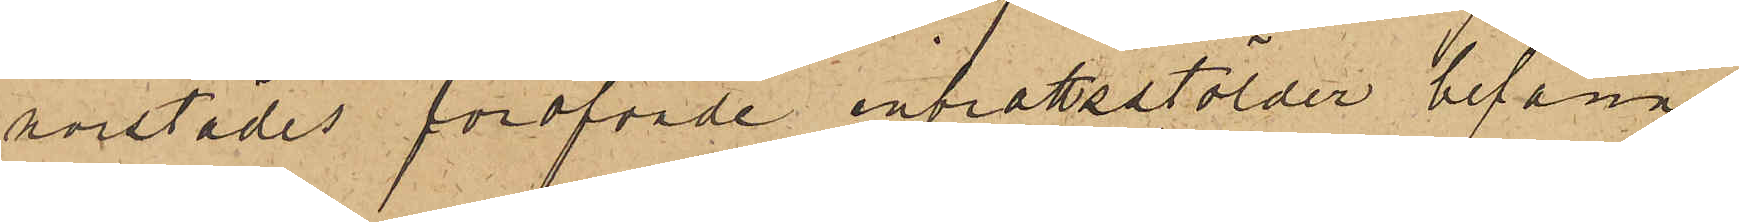norstädes föröfvade inbrottsstölder befanns
